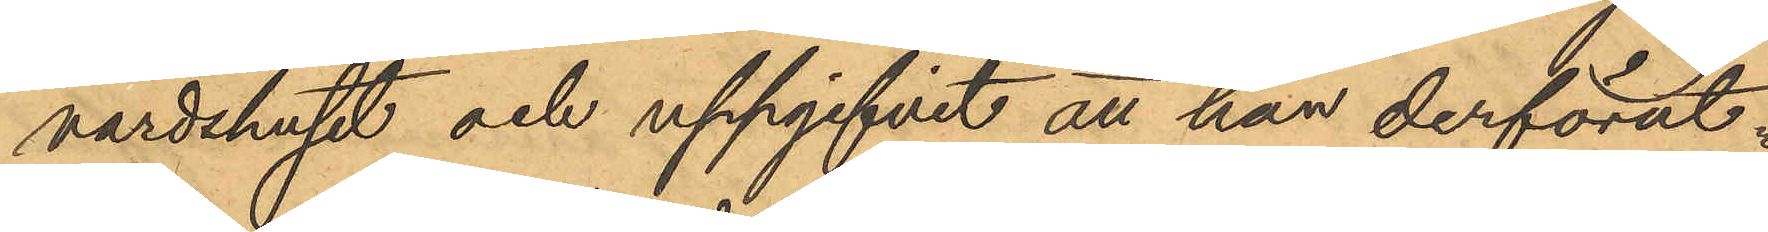värdshuset och uppgifvit att han derförut¬
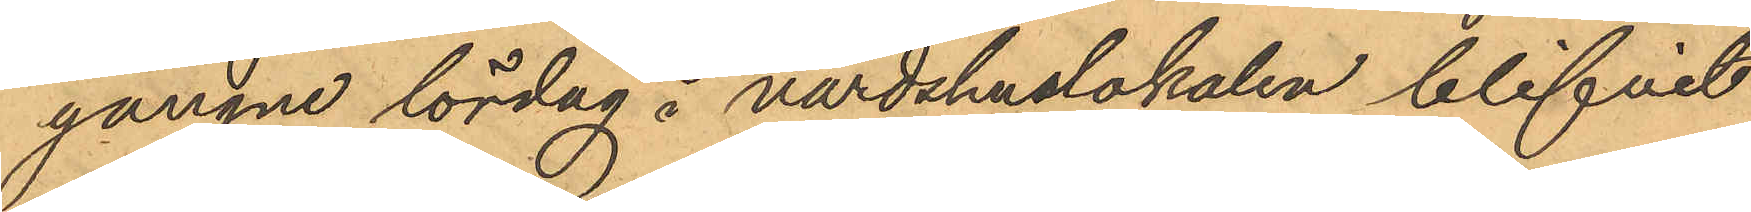gångne lördag å värdshuslokalen blifvit
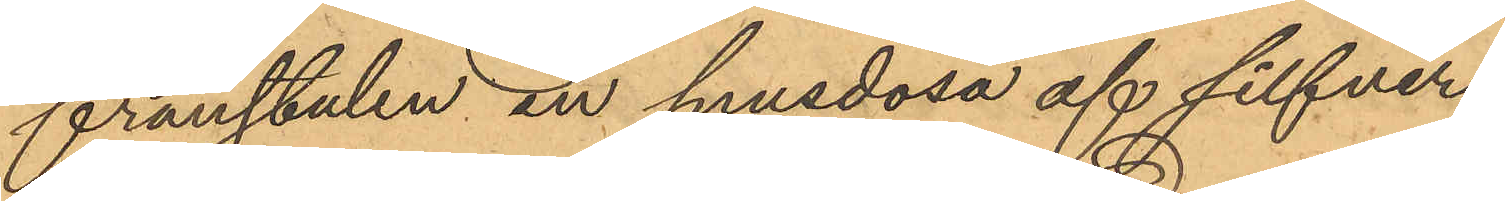frånstulen en snusdosa af silfver
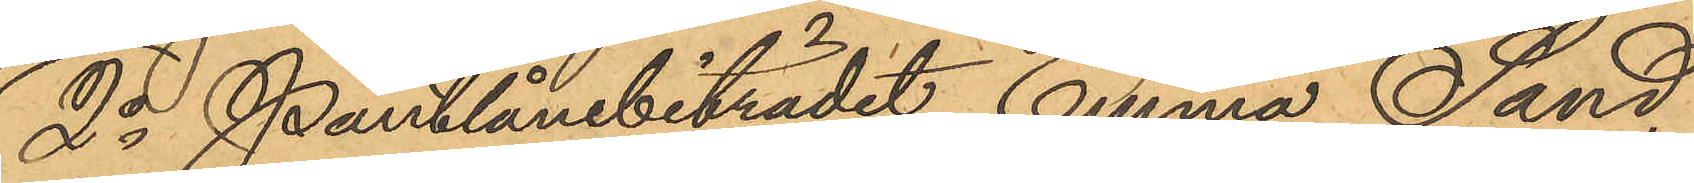2o Pantlånebiträdet Emma Sand
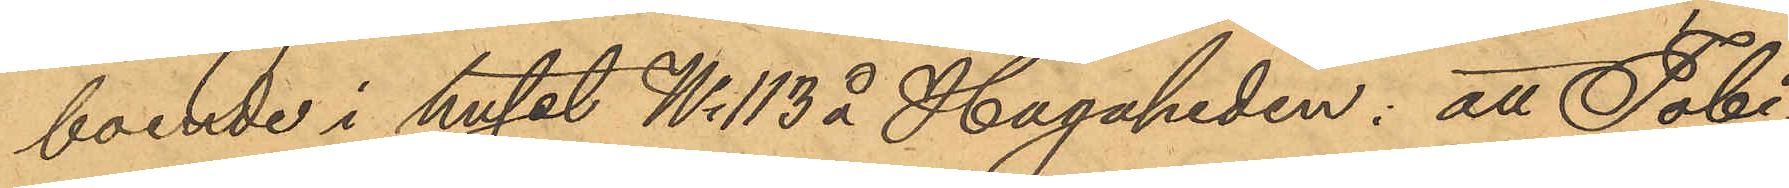boende i huset No 113 å Hagaheden: att Tobi¬
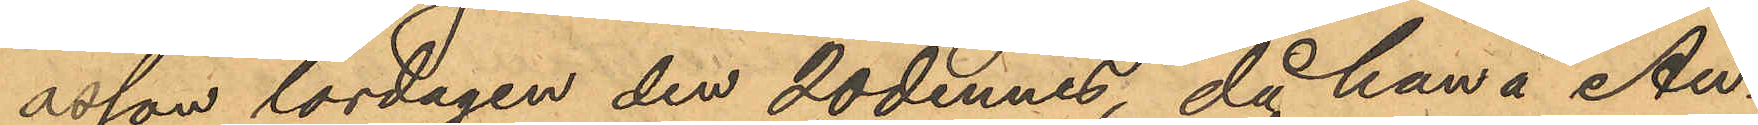asson lördagen den 20 dennes, då han å Au¬
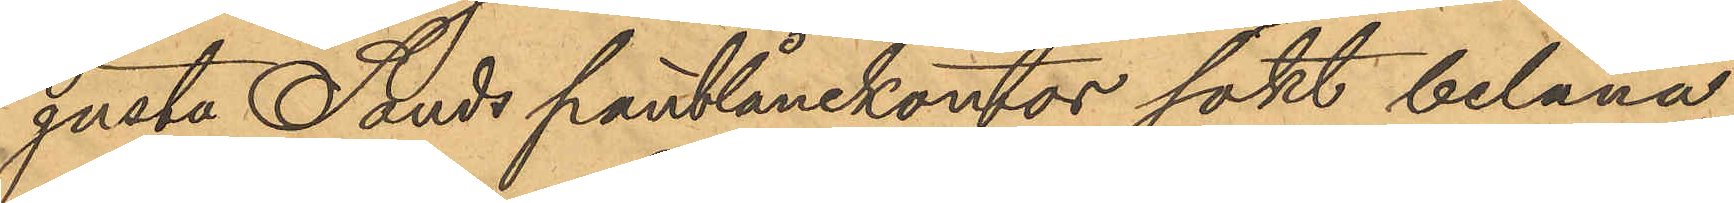gusta Sands pantlånekontor sökt belåna
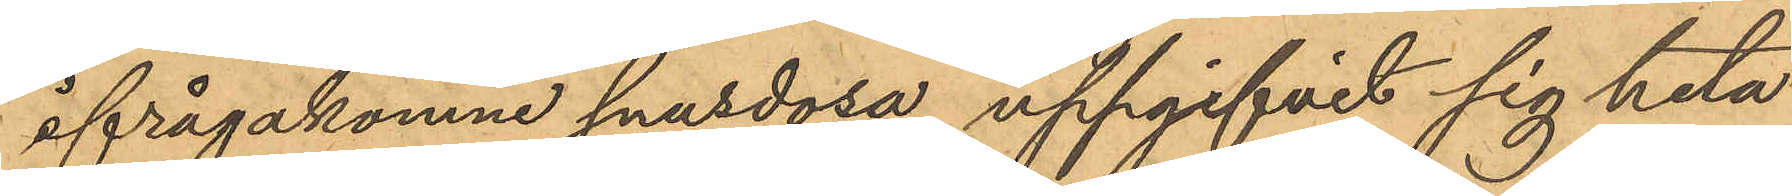ifrågakomne snusdosa uppgifvit sig heta
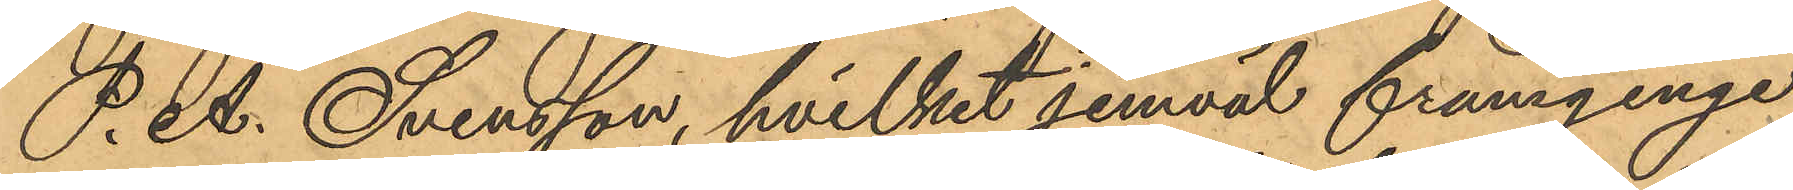P. A. Svensson, hvilket jemväl framginge
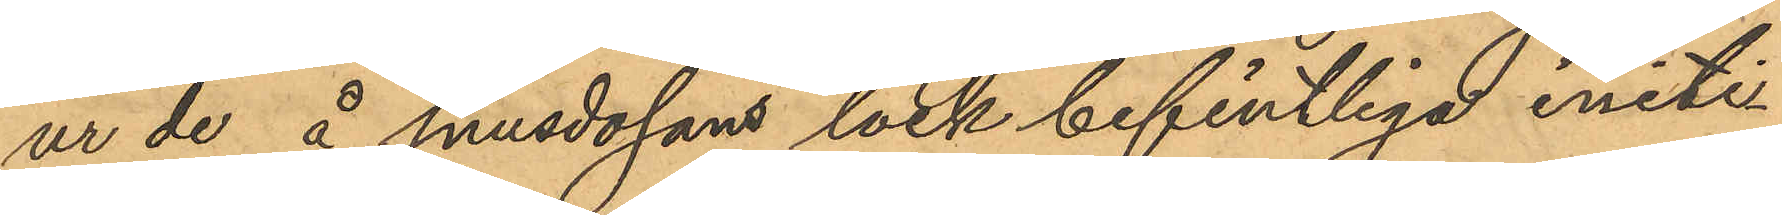ur de å snusdosans lock befintliga initi
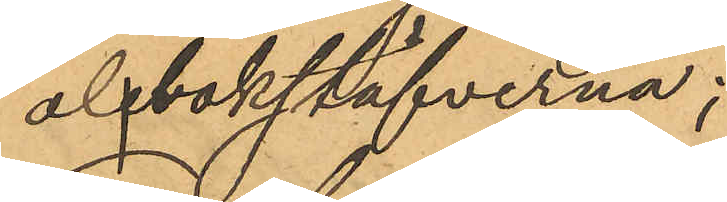albokstäfverna;
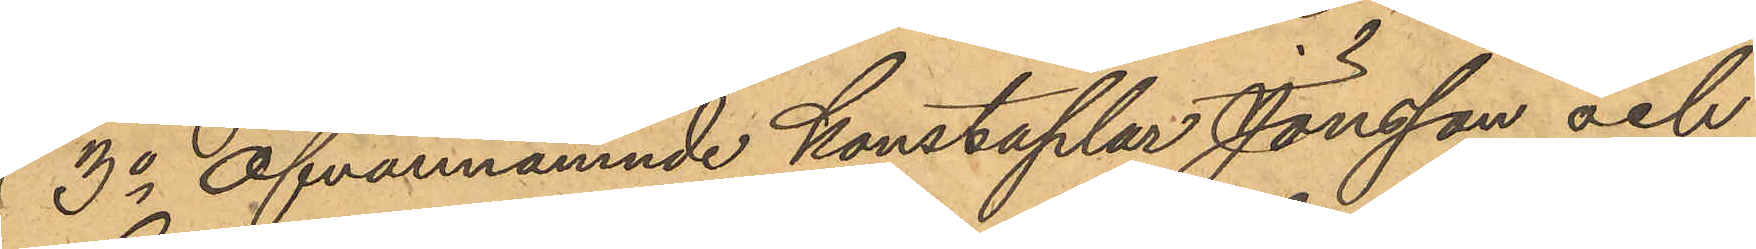3o ofvannämnde konstaplar Jönsson och
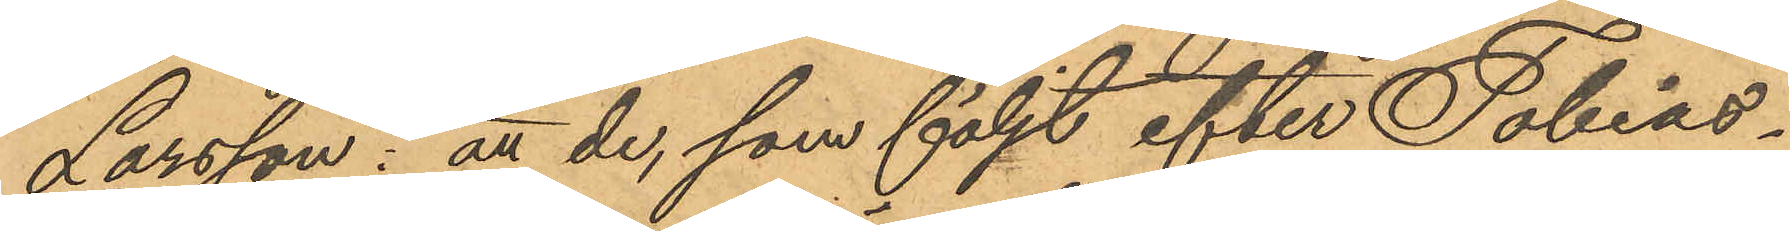Larsson: att de, som följt efter Tobias¬
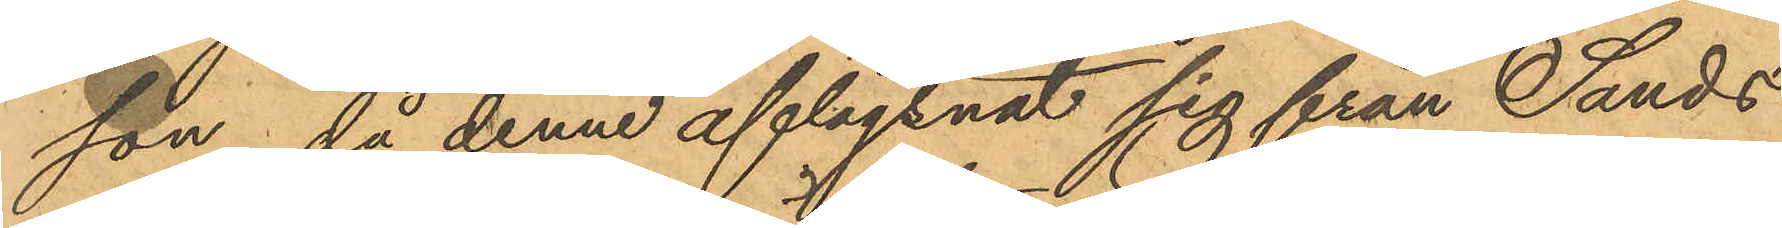son, då denne aflägsnat sig från Sands
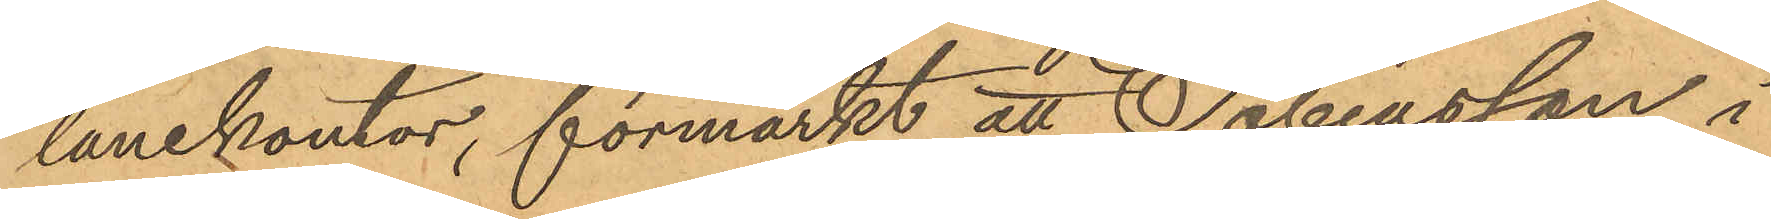lånekontor, förmärkt att Tobiasson i
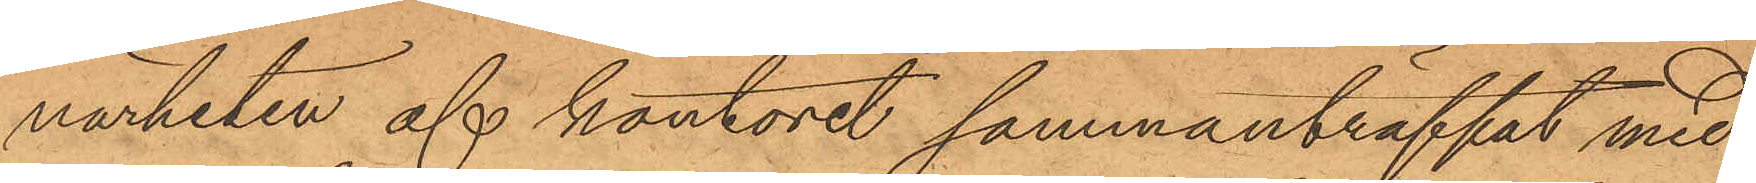närheten af kontoret sammanträffat med
